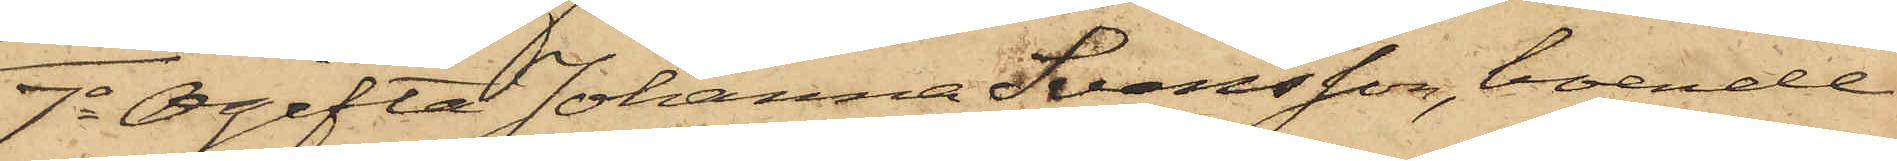7o Ogifta Johanna Svensson, boende
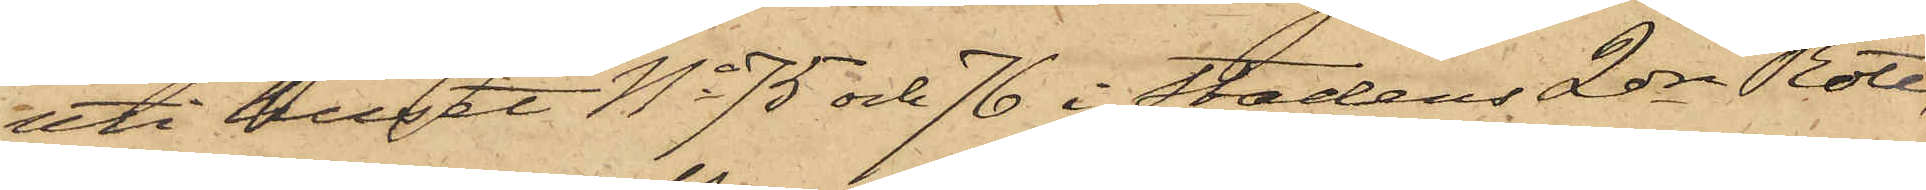uti huset No 75 och 76 i stadens 2dra Rote,
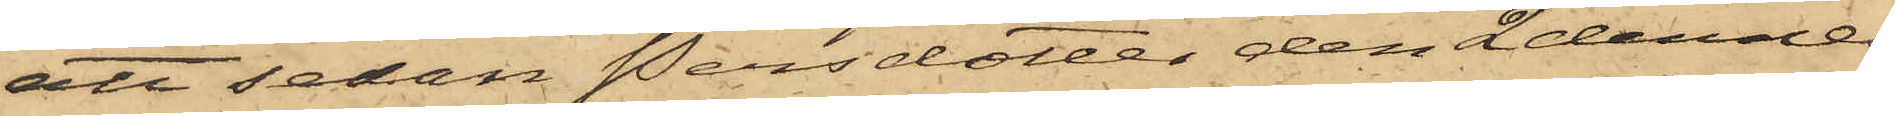att sedan Persdotter den 2 dennes
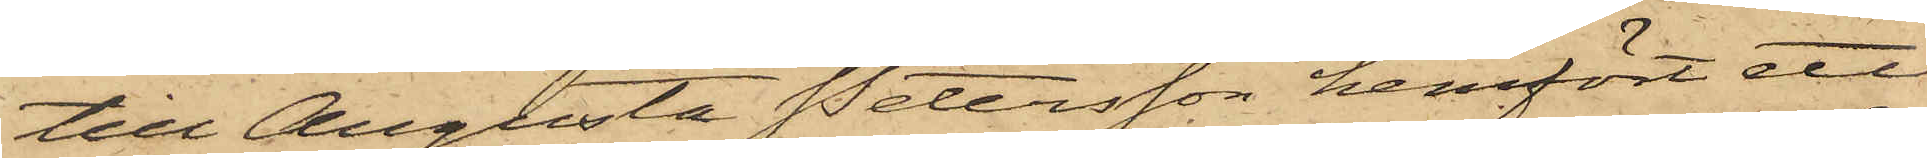till Augusta Petersson hemfört ett
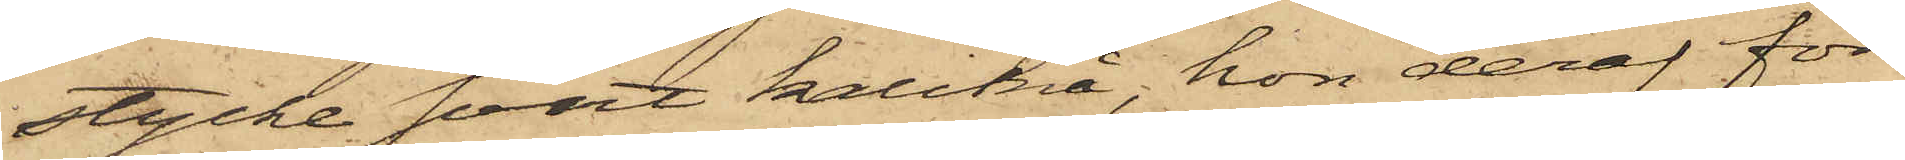stycke svart kalikå, hon deraf för
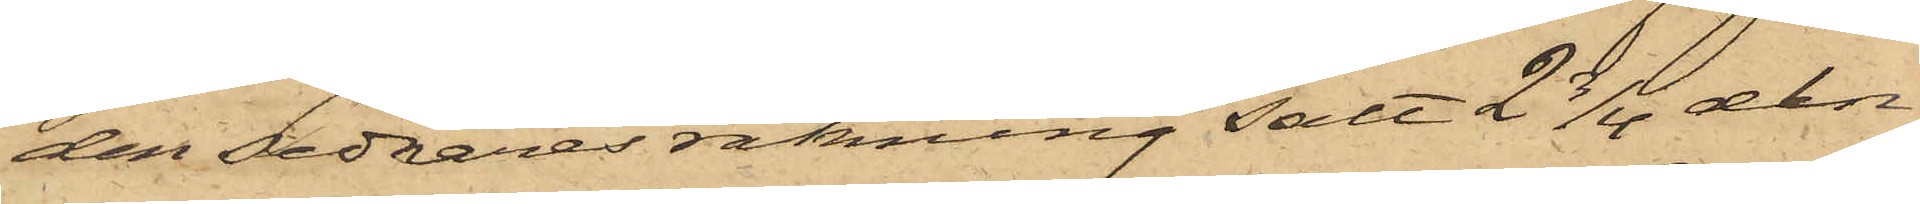den sednares räkning sålt 2 3/4 aln
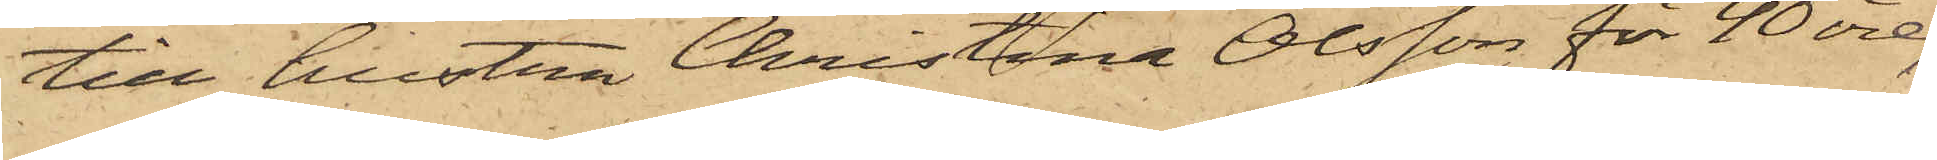till hustru Christina Olsson för 40 öre;
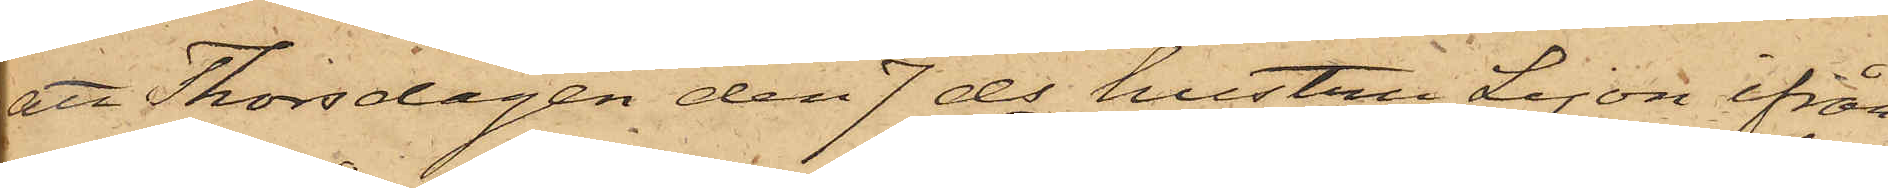att Thorsdagen den 7 ds hustru Lejon ifrån
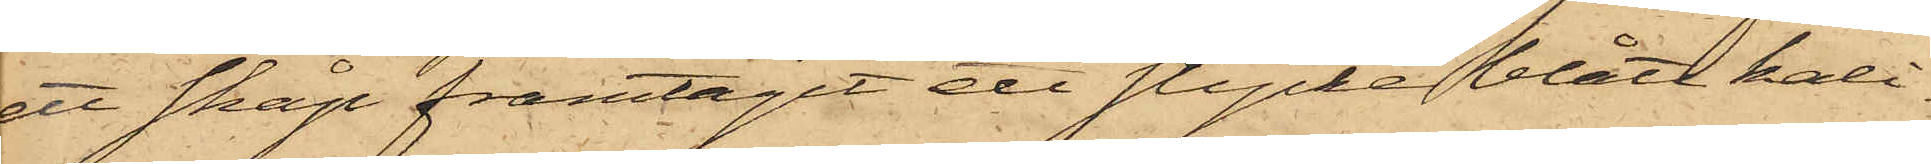ett skåp framtagit ett stycke blått kali¬
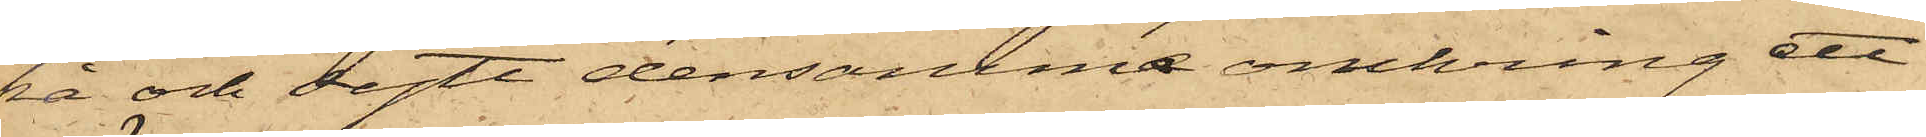kå och sytt densamma omkring ett
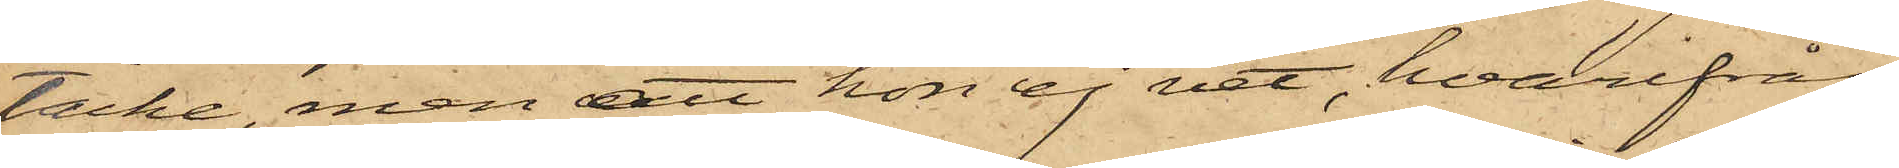täcke, men att hon ej vet, hvarifrån
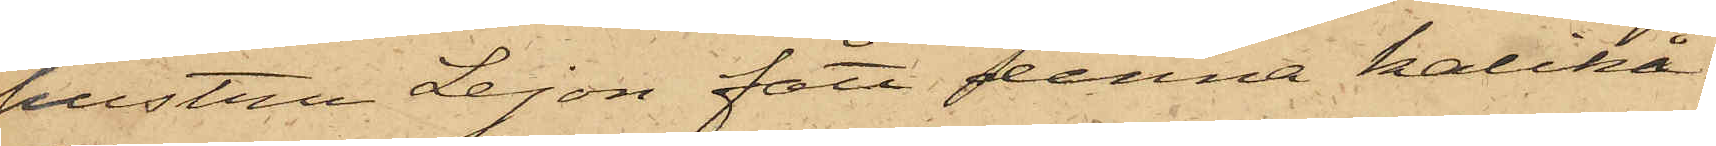hustru Lejon fått denna kalikå;
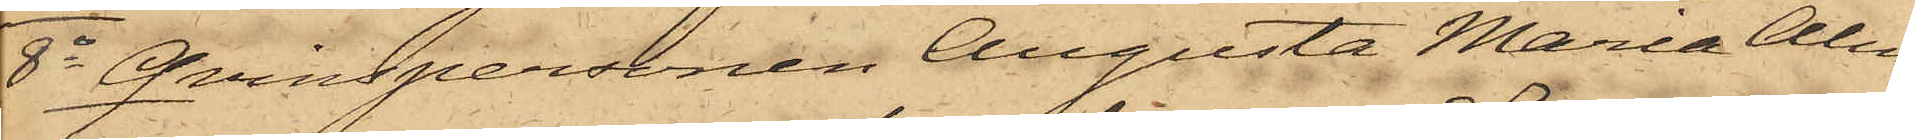8o Qvinspersonen Augusta Maria Alm¬
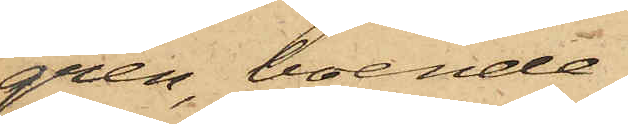gren, boende
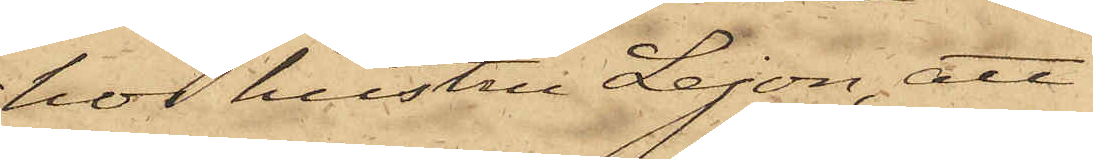hos hustru Lejon, att
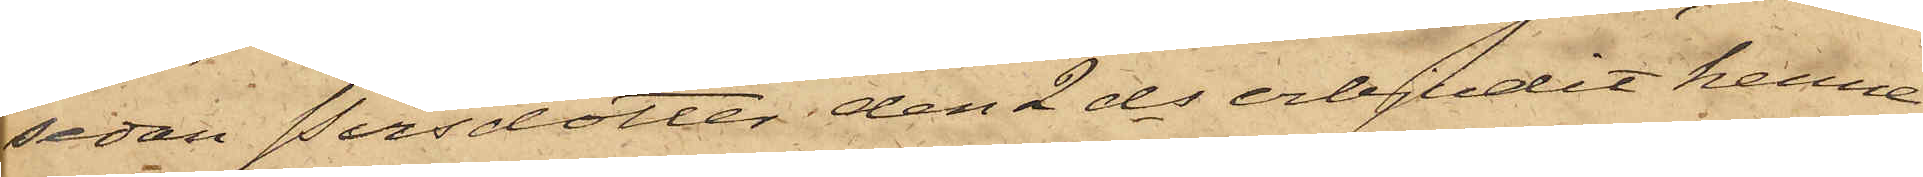sedan Persdotter den 2 ds erbjudit henne
